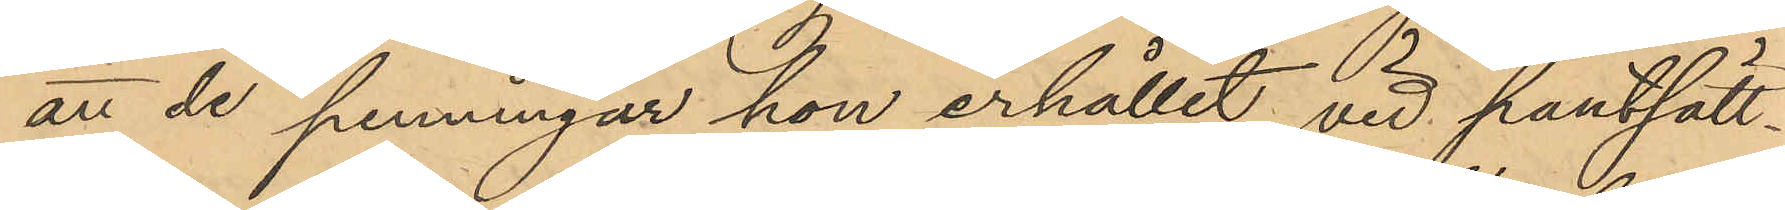att de penningar hon erhållit vid pantsätt¬
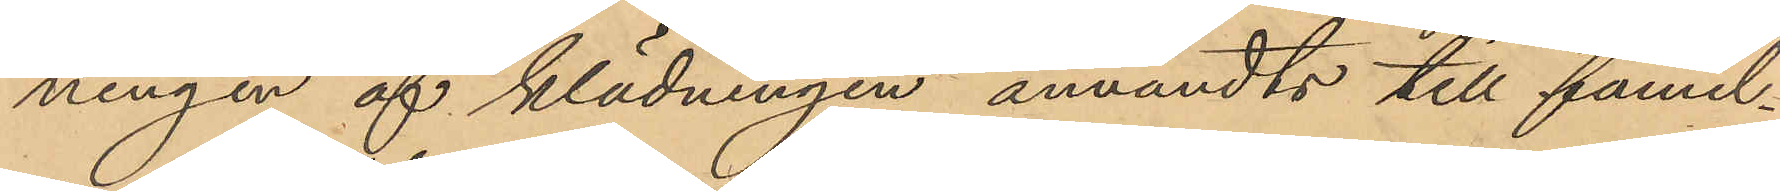ningen af klädningen användts till famil¬
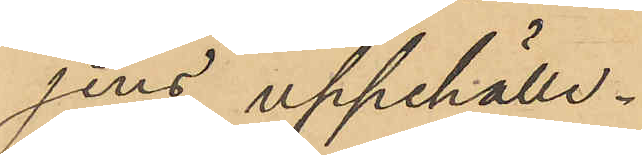jens uppehälle.
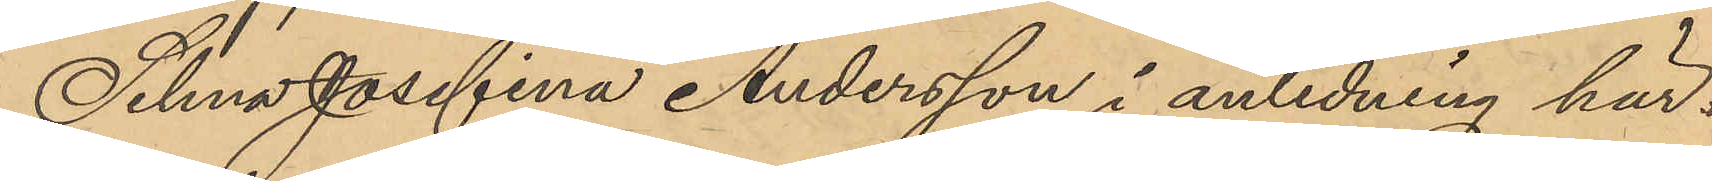Selma Josefina Andersson i anledning här¬
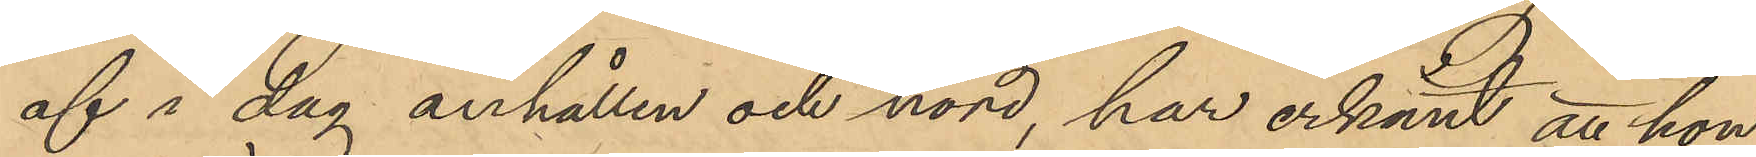af i dag anhållen och hörd, har erkänt att hon
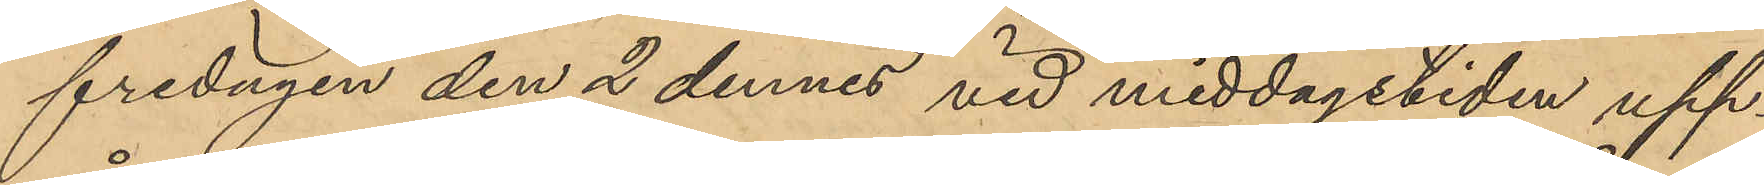fredagen den 2 dennes vid middagstiden upp¬
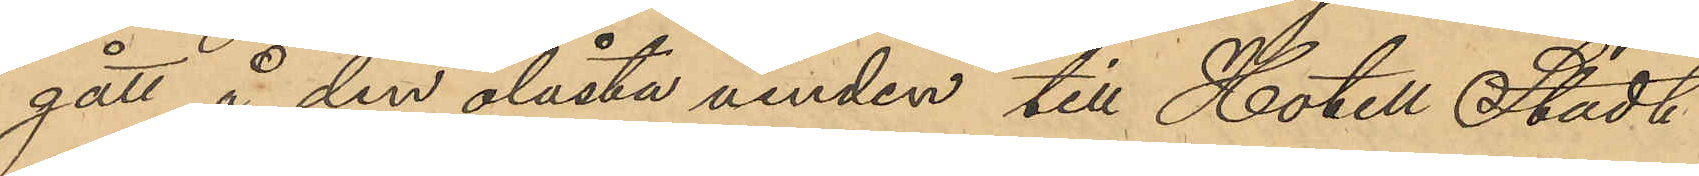gått å den olåsta vinden till Hotell Stadt
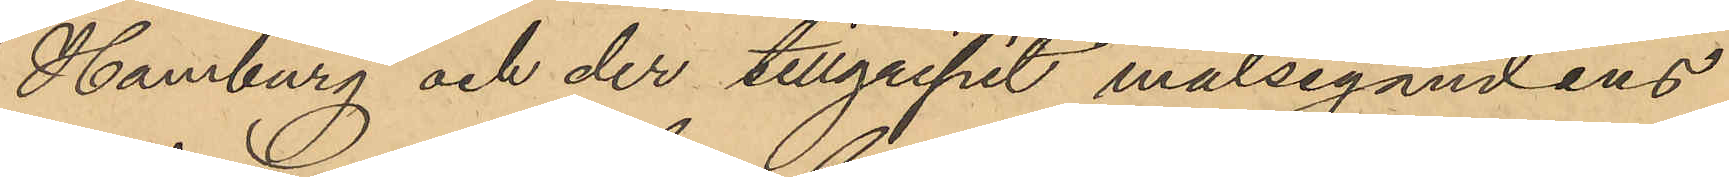Hamburg och der tillgripit målsegandens
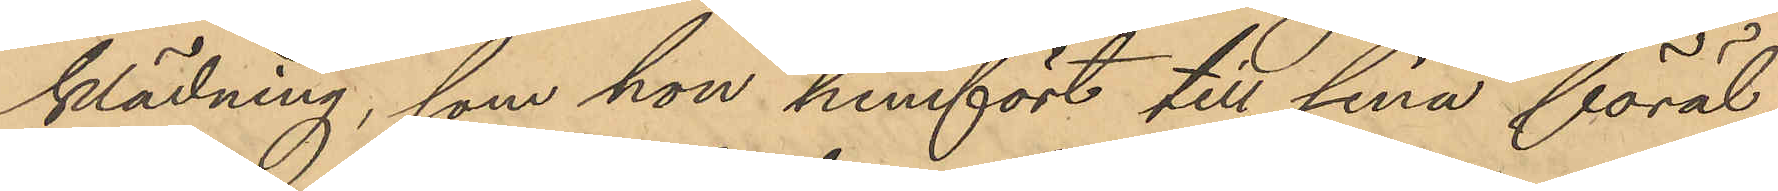klädning, som hon hemfört till sina föräl¬
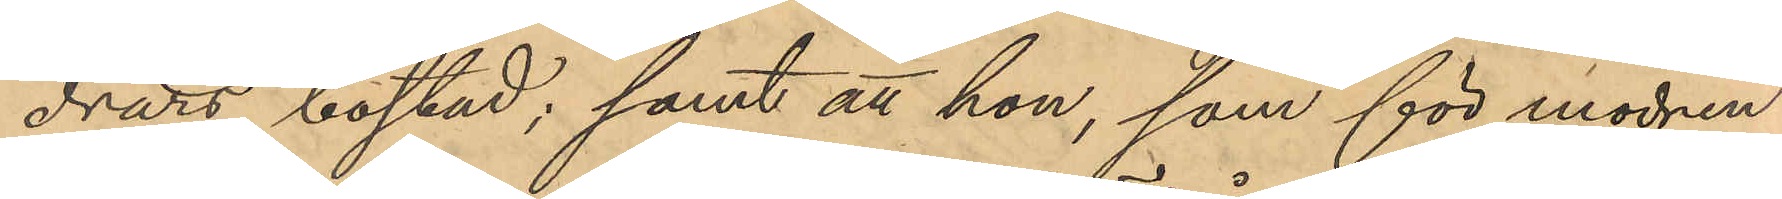drars bostad; samt att hon, som för modren
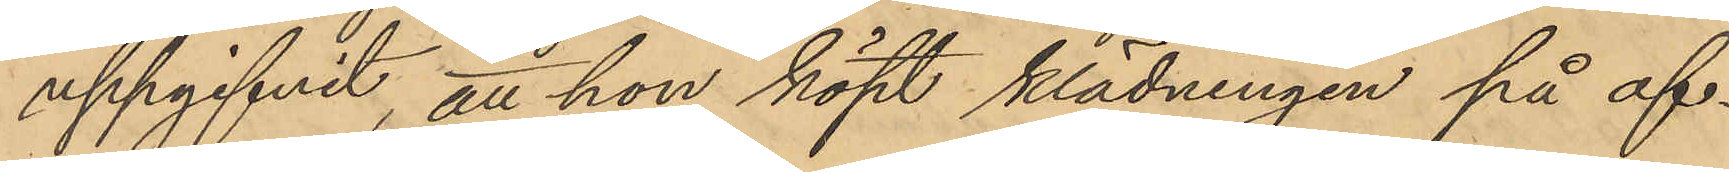uppgifvit, att hon köpt klädningen på af¬
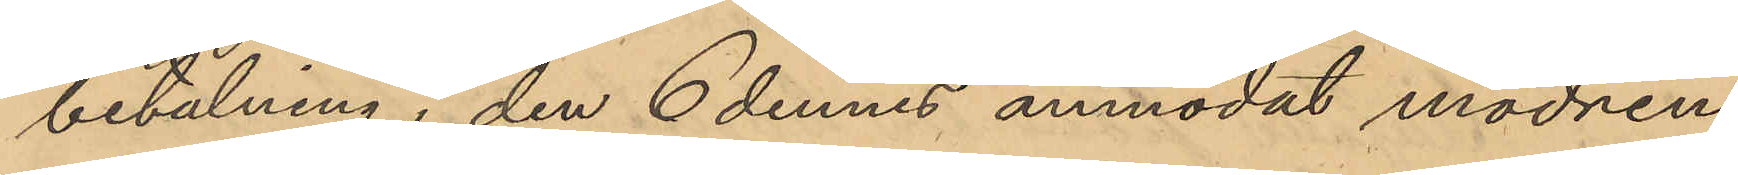betalning, den 6 dennes anmodat modren
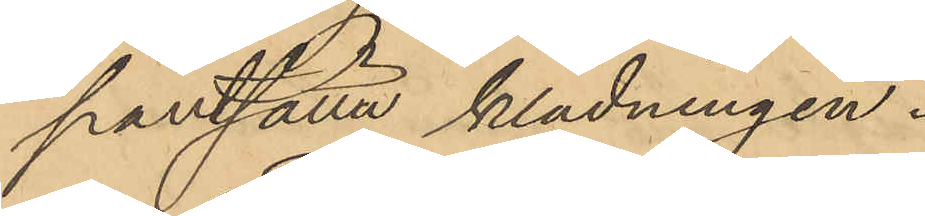pantsätta klädningen.
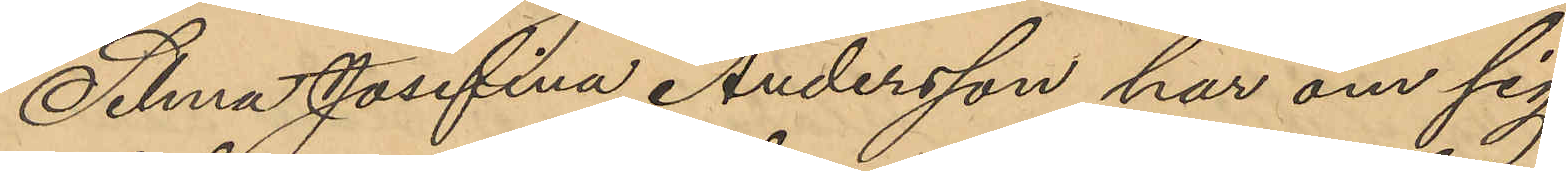Selma Josefina Andersson har om sig
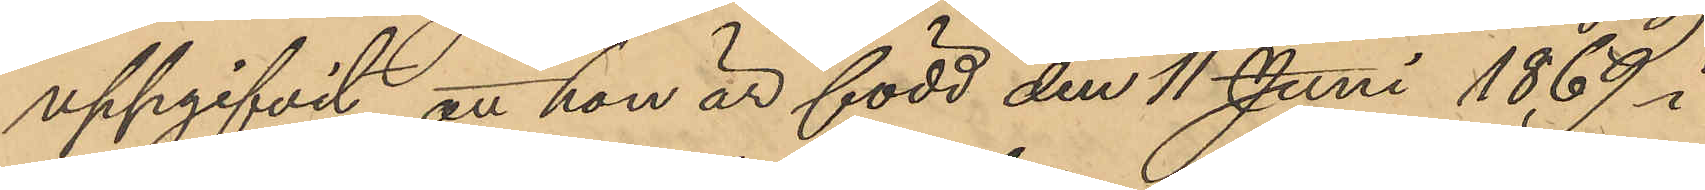uppgifvit att hon är född den 11 Juni 1869 i
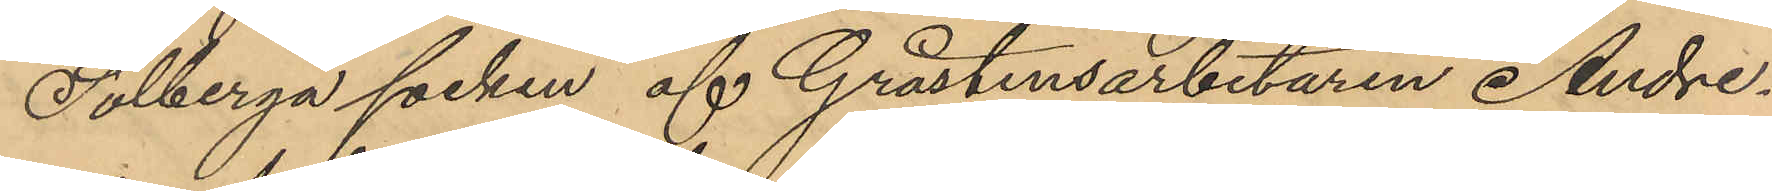Solberga socken af Gråstensarbetaren Andre¬
